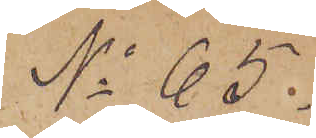No 65.
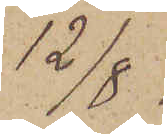12/8
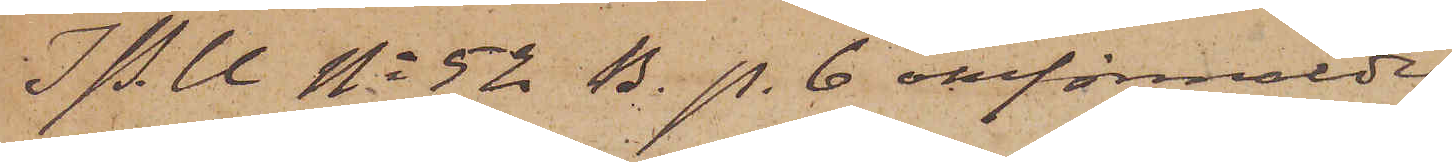I P.U No 52 B. p. 6 omförmälde
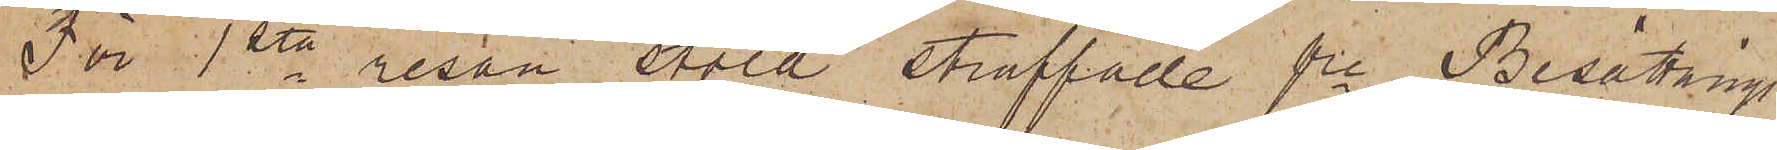För 1sta resan stöld straffade fre Besättnings¬
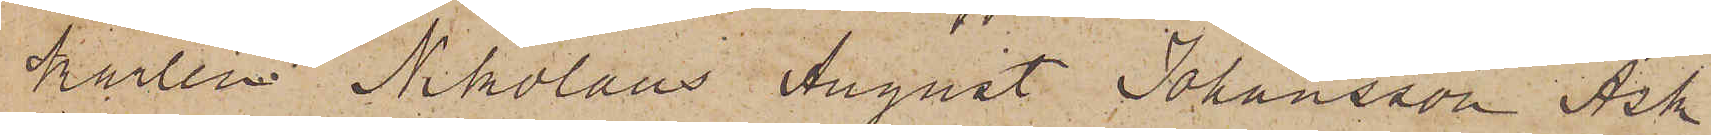karlen Nikolaus August Johansson Ask
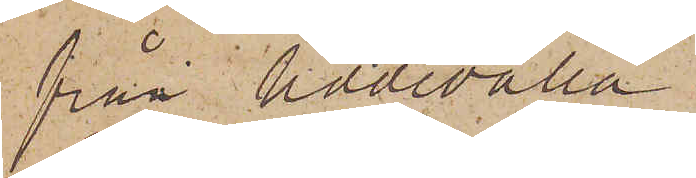från Uddevalla
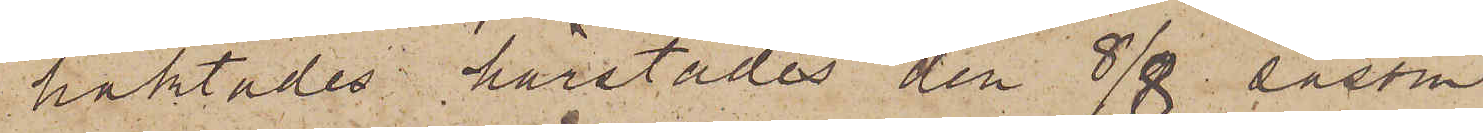häktades härstädes den 8/8 såsom
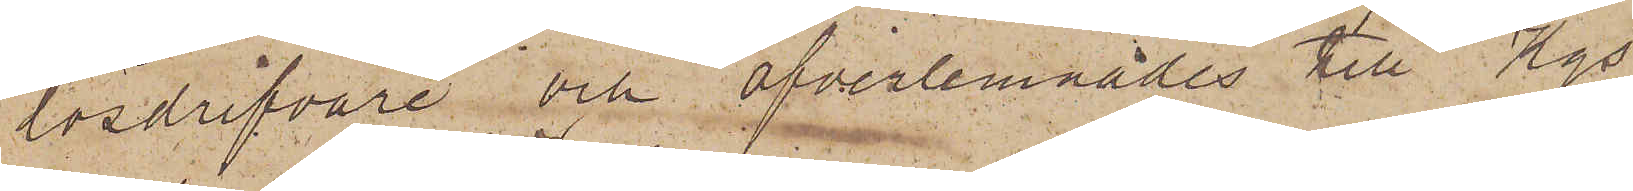lösdrifvare och öfverlemnades till Kgs
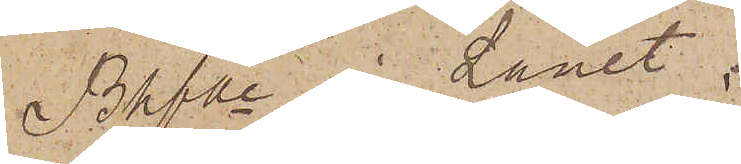Bhfde i Länet.
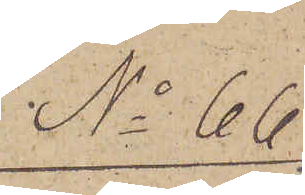No 66.
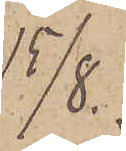15/8.
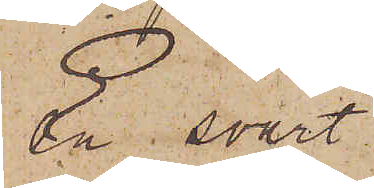En svart
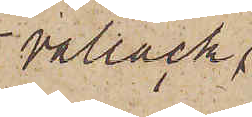vallack,
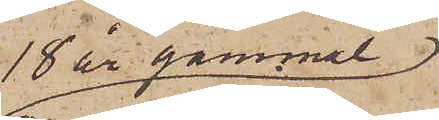18 år gammal
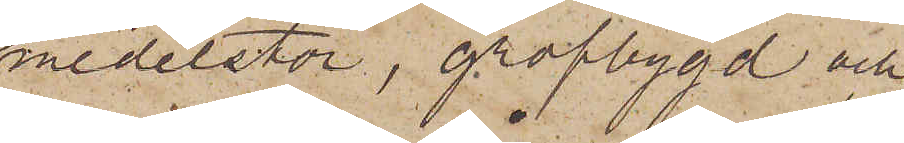medelstor, grofbygd och
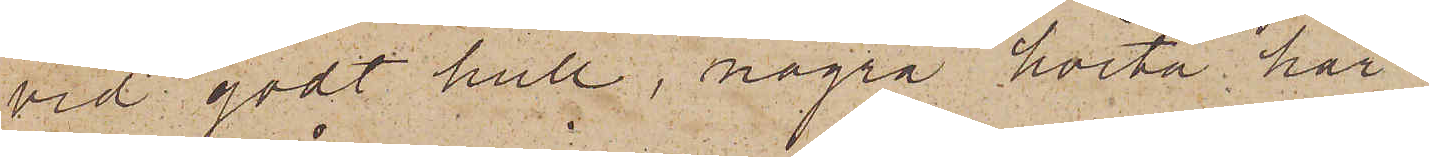vid godt hull, några korta hår
